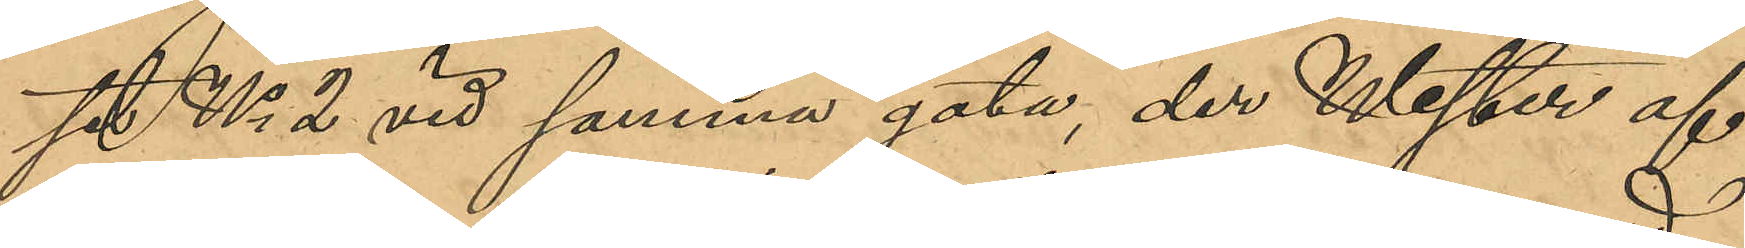set No 2 vid samma gata, der Wester af
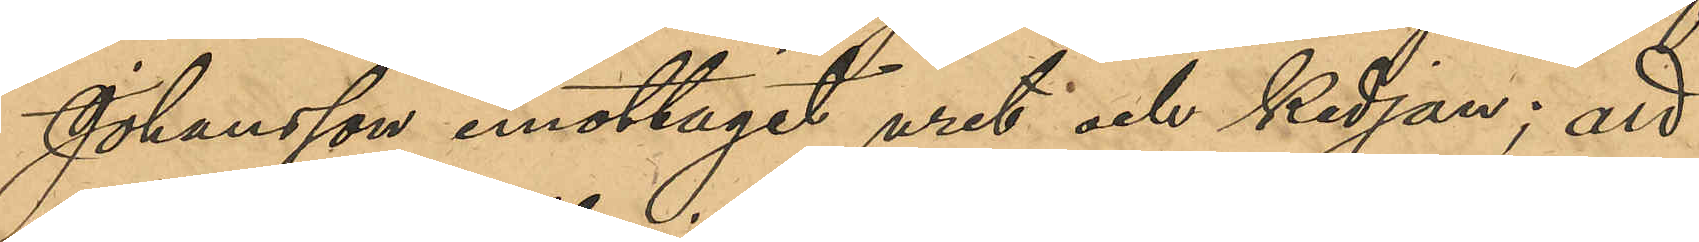Johansson emottagit uret och kedjan; att
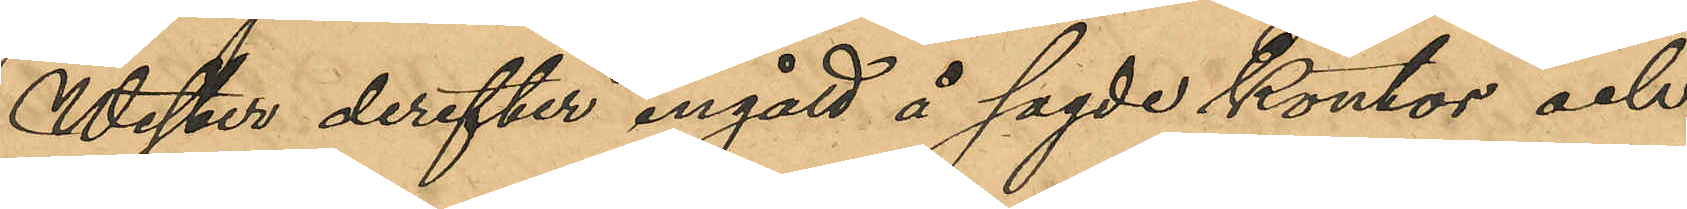Wester derefter ingått å sagde kontor och
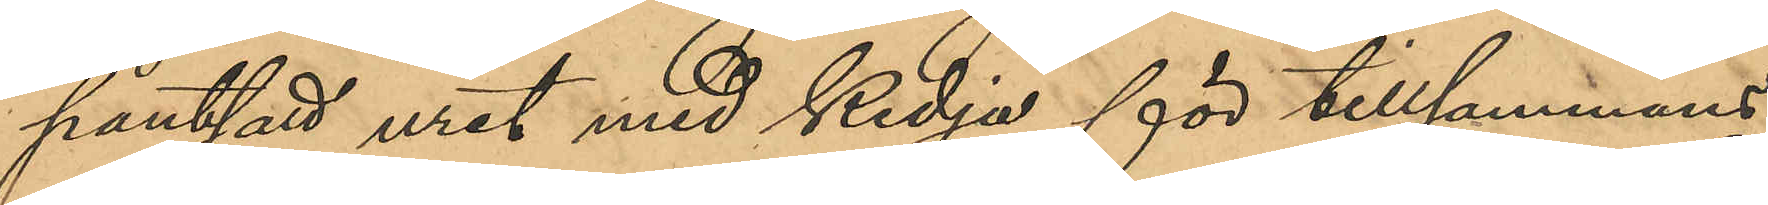pantsatt uret med kedja för tillsammans
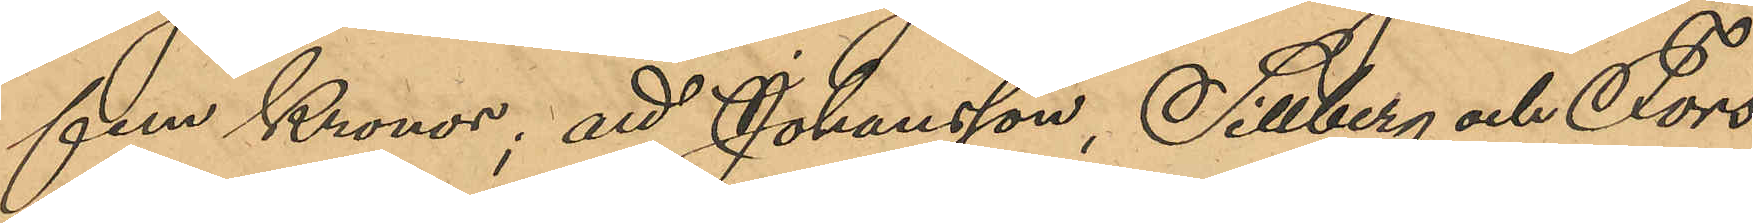fem Kronor; att Johansson, Sillberg och Fors¬
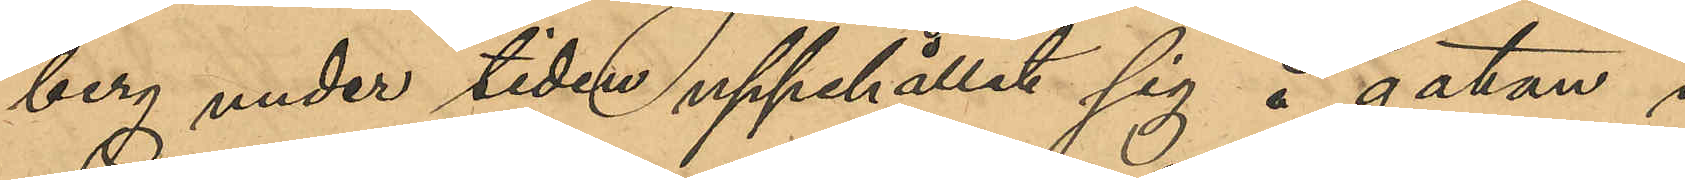berg under tiden uppehållit sig å gatan i
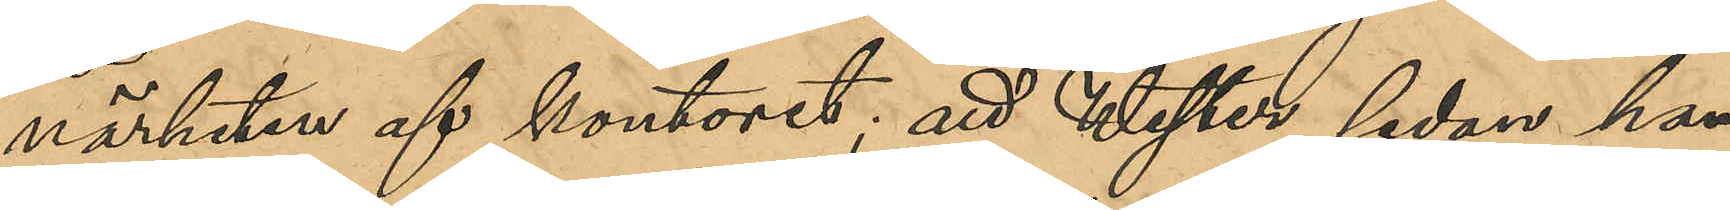närheten af kontoret; att Wester, sedan han
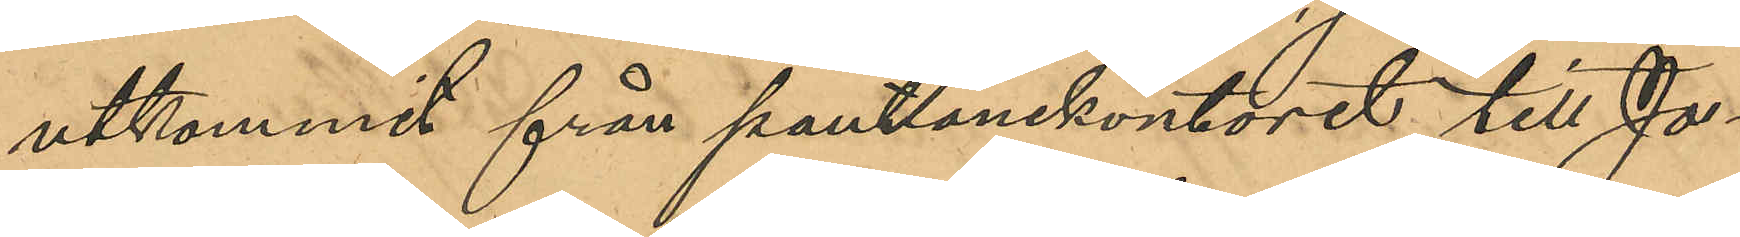utkommit från pantlånekontoret till Jo¬
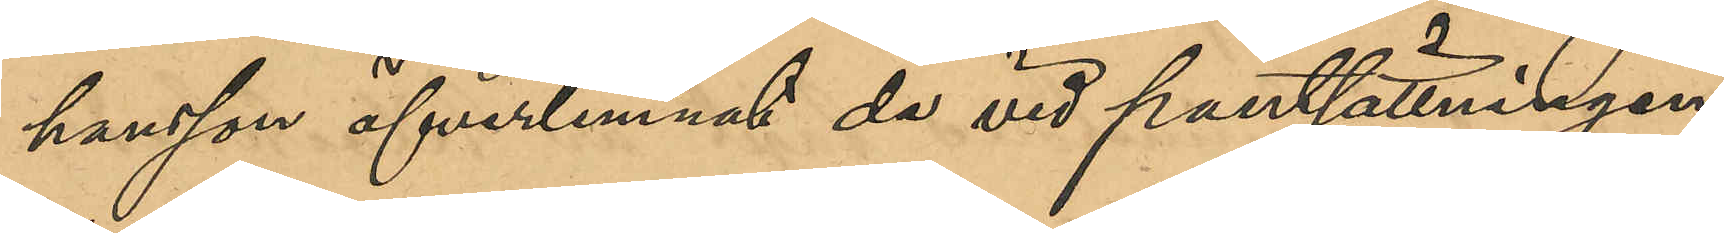hansson öfverlemnat de vid pantsättningen
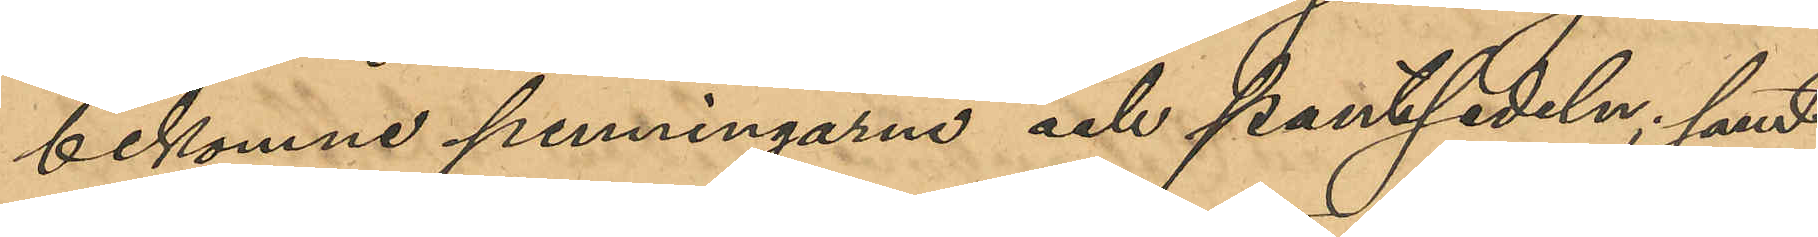bekomne penningarne och pantsedeln; samt
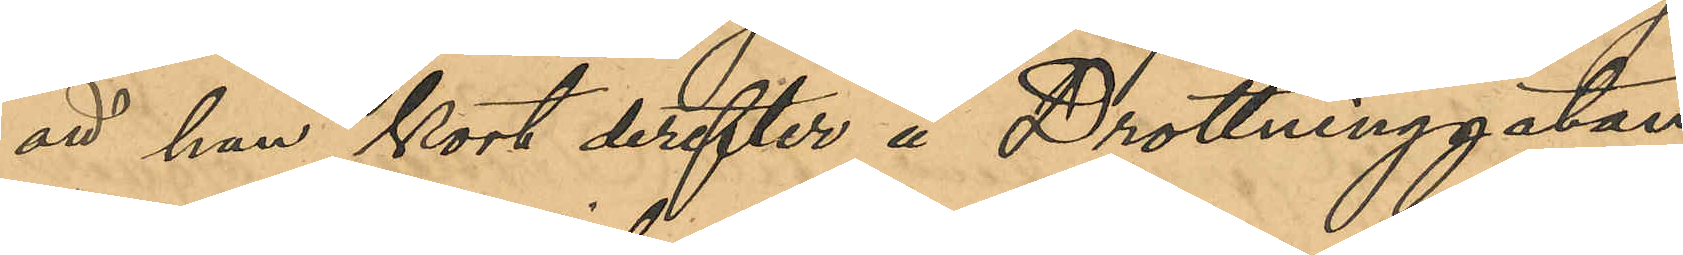att han kort derefter å Drottninggatan
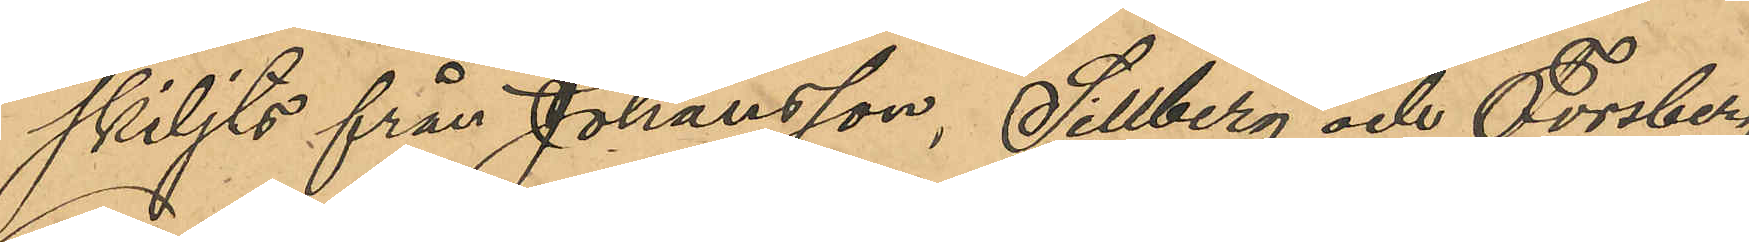skiljts från Johansson, Sillberg och Forsberg;
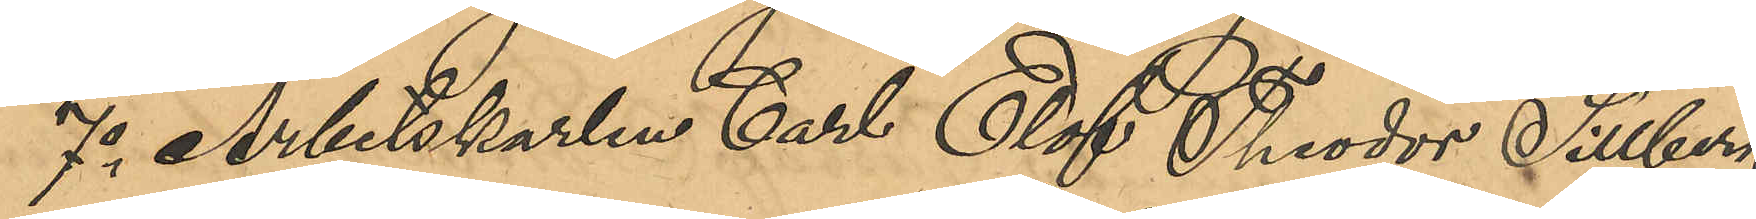7o Arbetskarlen Carl Elof Theodor Sillberg,
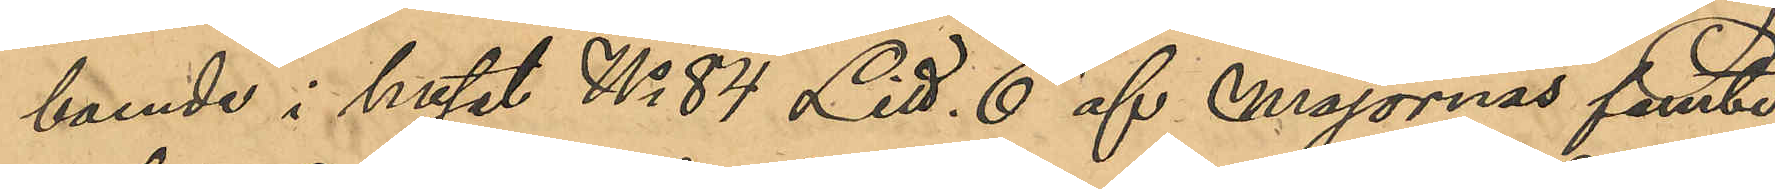boende i huset No 84 Litt. E af Majornas femte
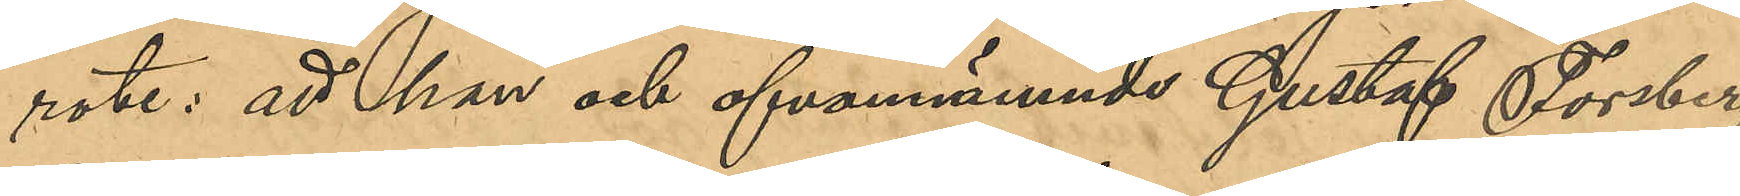rote: att han och ofvannämnde Gustaf Forsberg
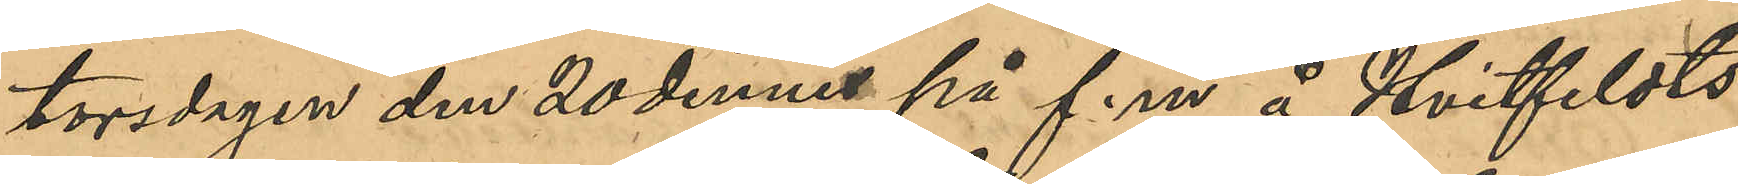torsdagen den 20 dennes på f. m. å Hvitfeldts¬
